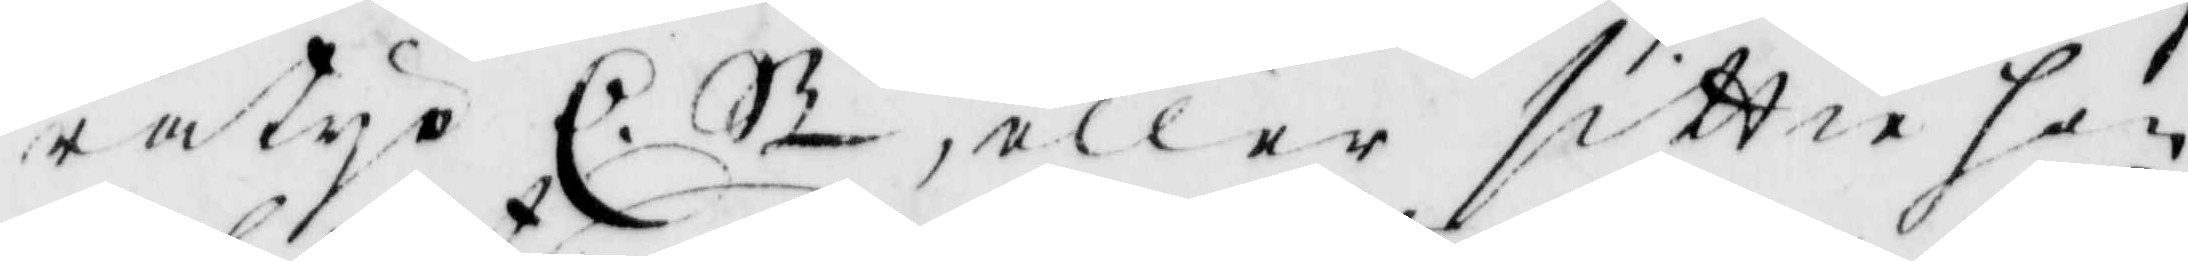ratyo C. St, eller sittia her
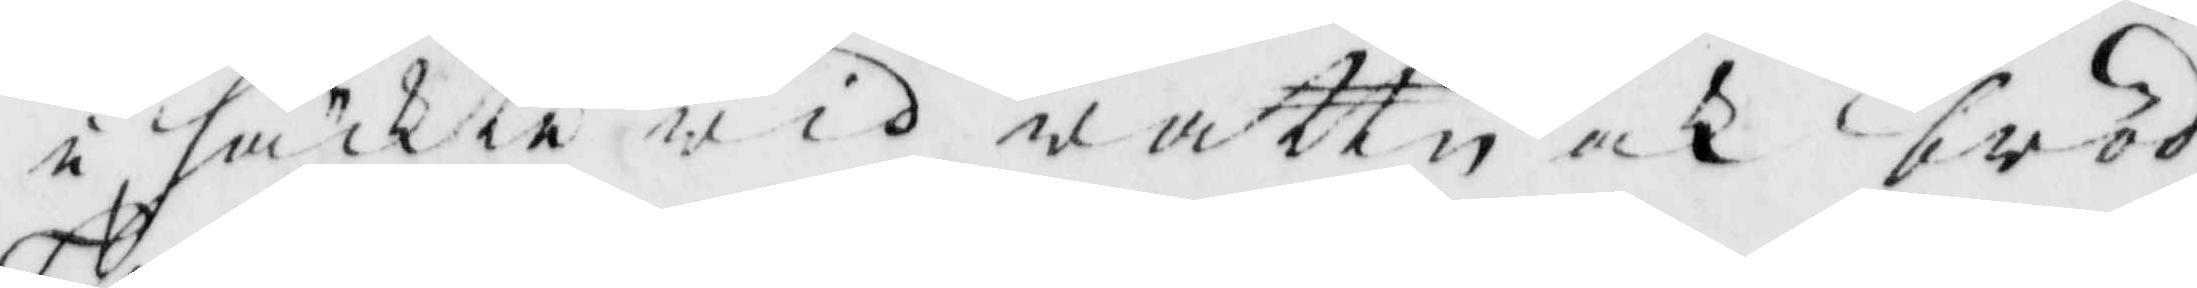i häkte wid wattn och bröd
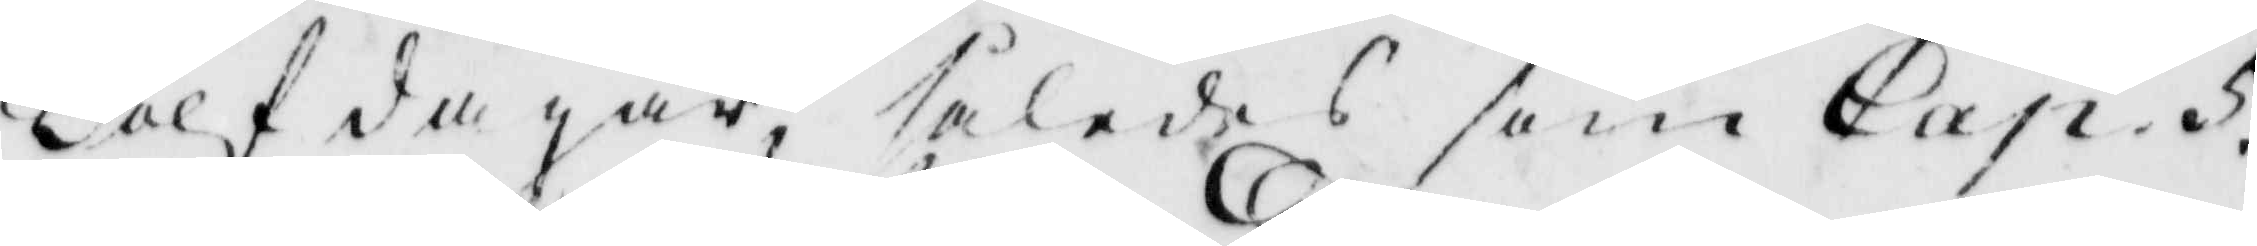Tolf dagar, således som Cap. 5.
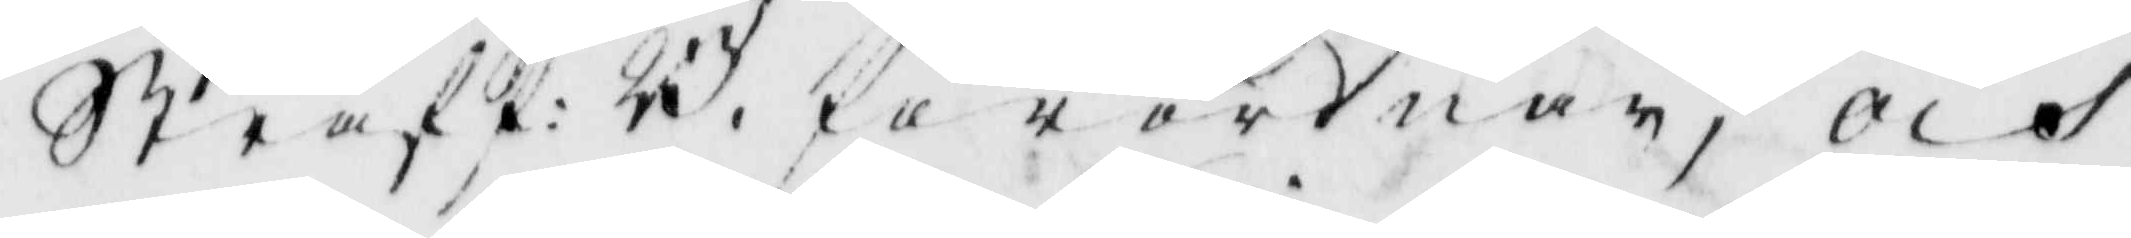Straff: B. förordning; och
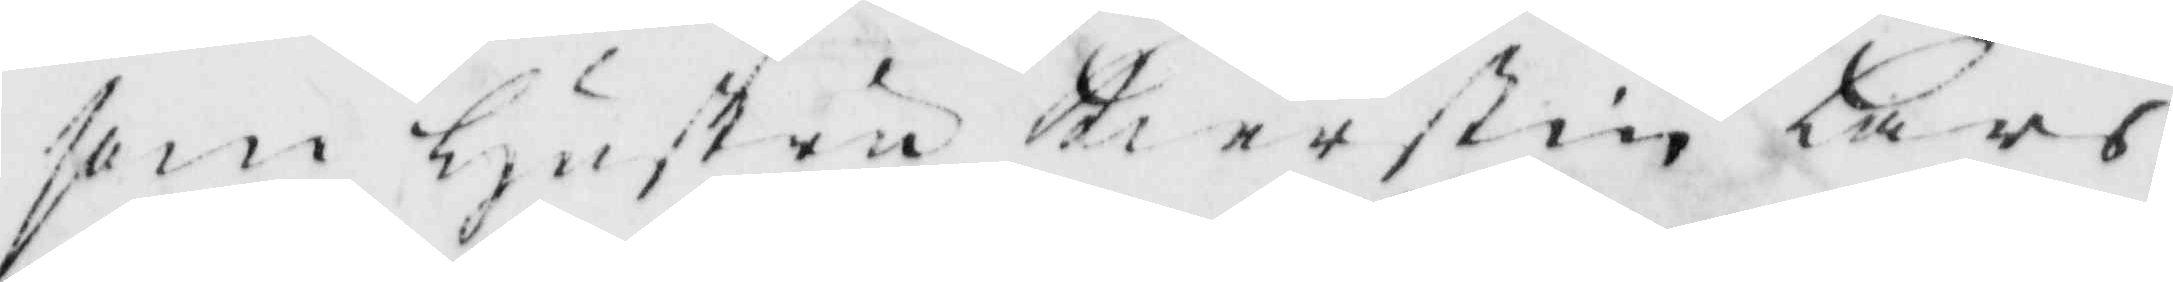som hustru Kierstin Lars
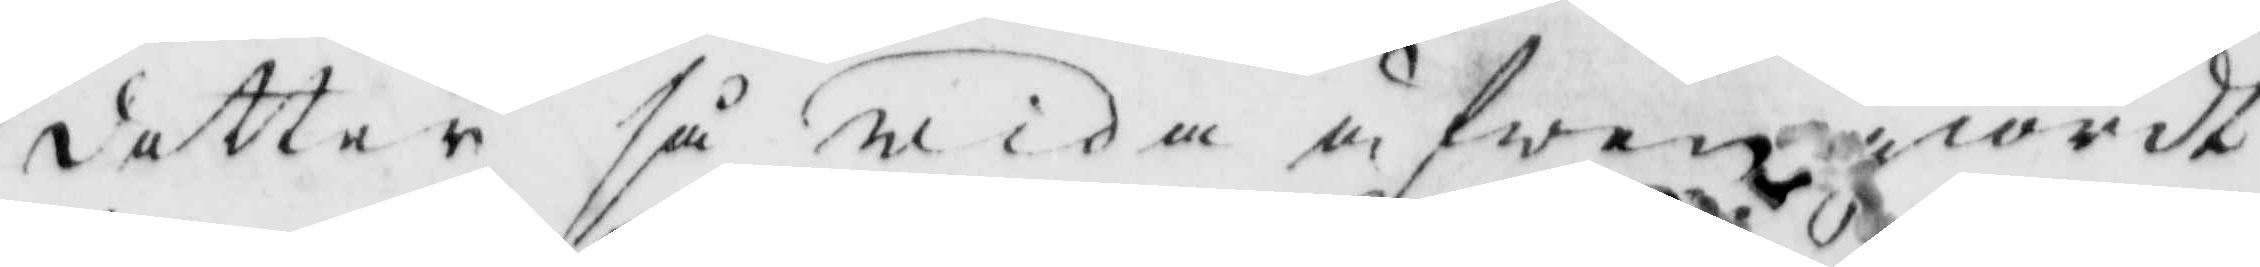dotter så wida ågwan giordt
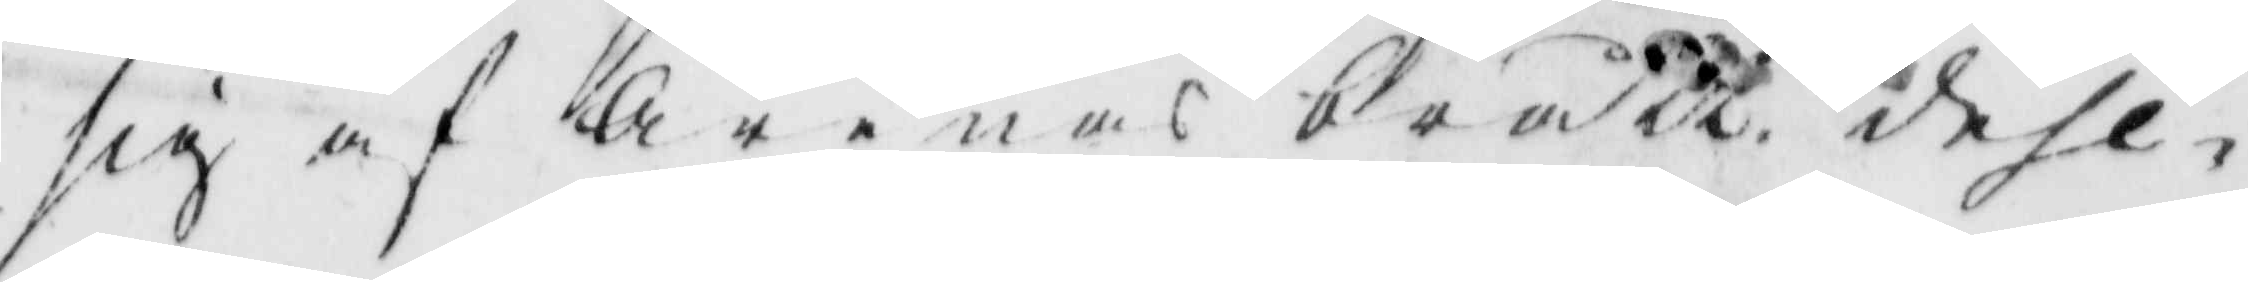sig af Arenas brått dehl¬
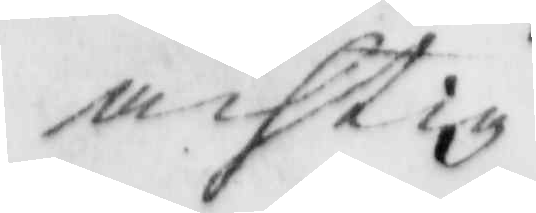achtig
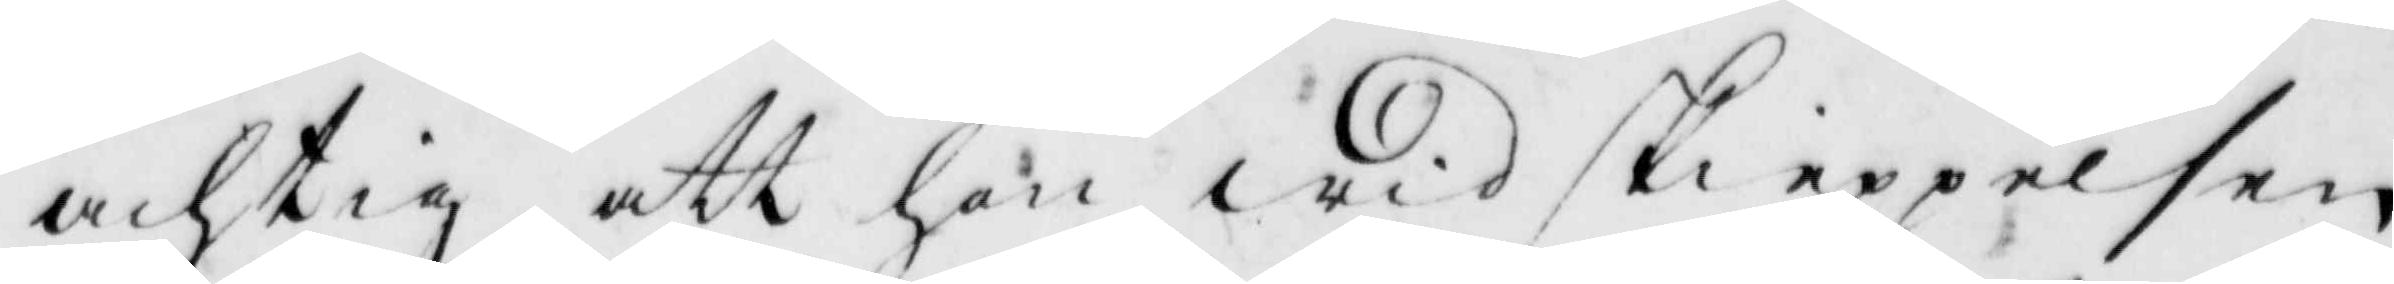achtig att hon wid skieppelsen
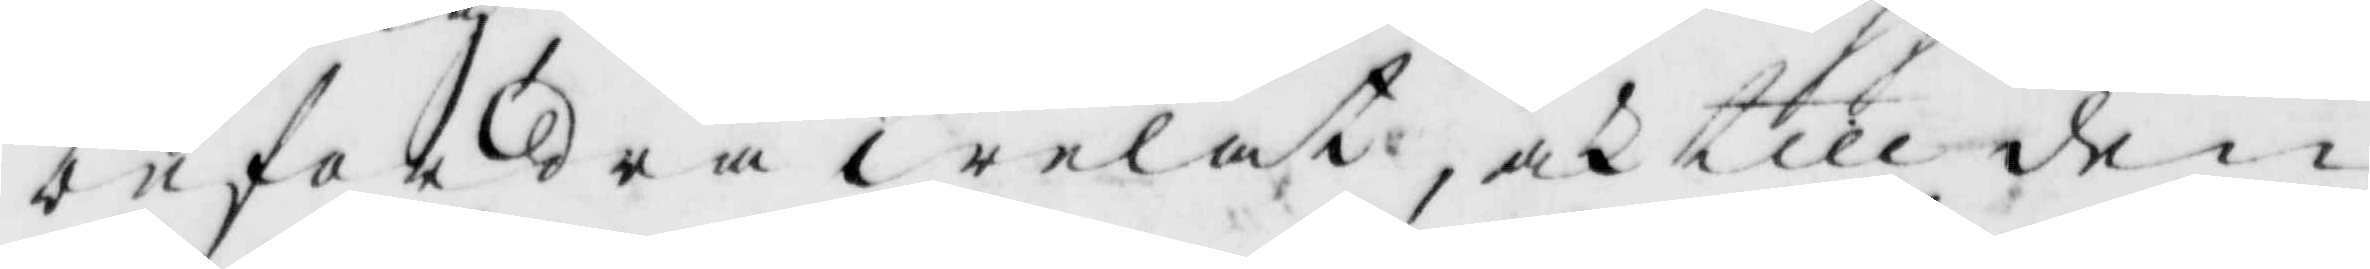befordra welat, och till den
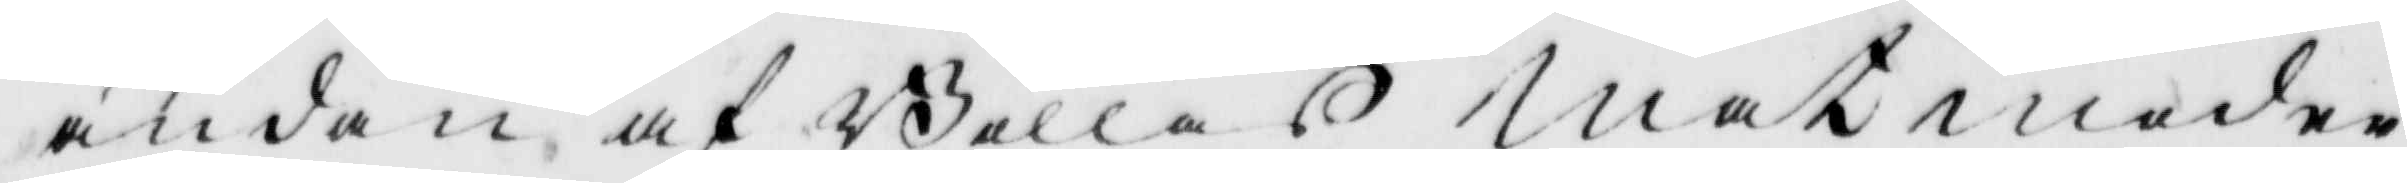ändan af Bollas matmoder
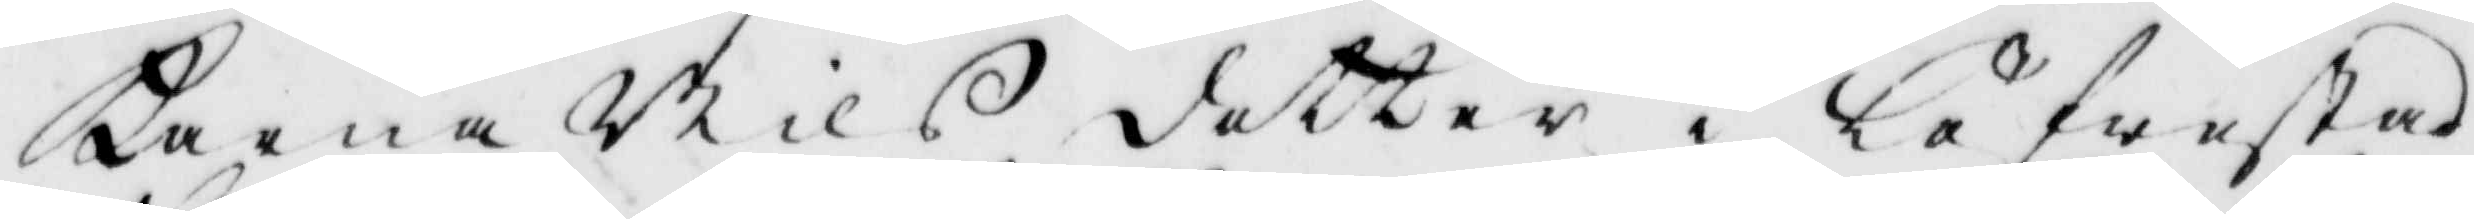Karna Nils dotter i Löfwestad
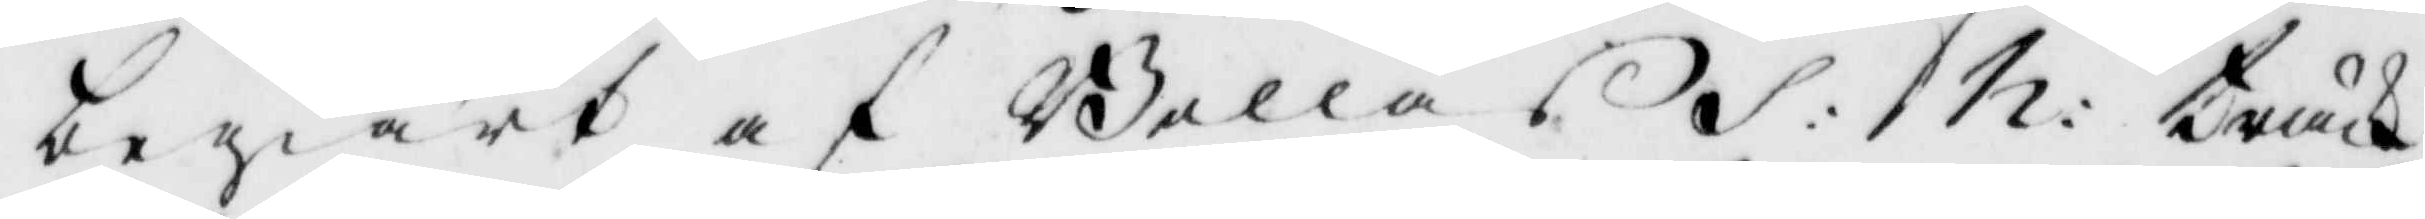begiärt af Bollas S: h: träck
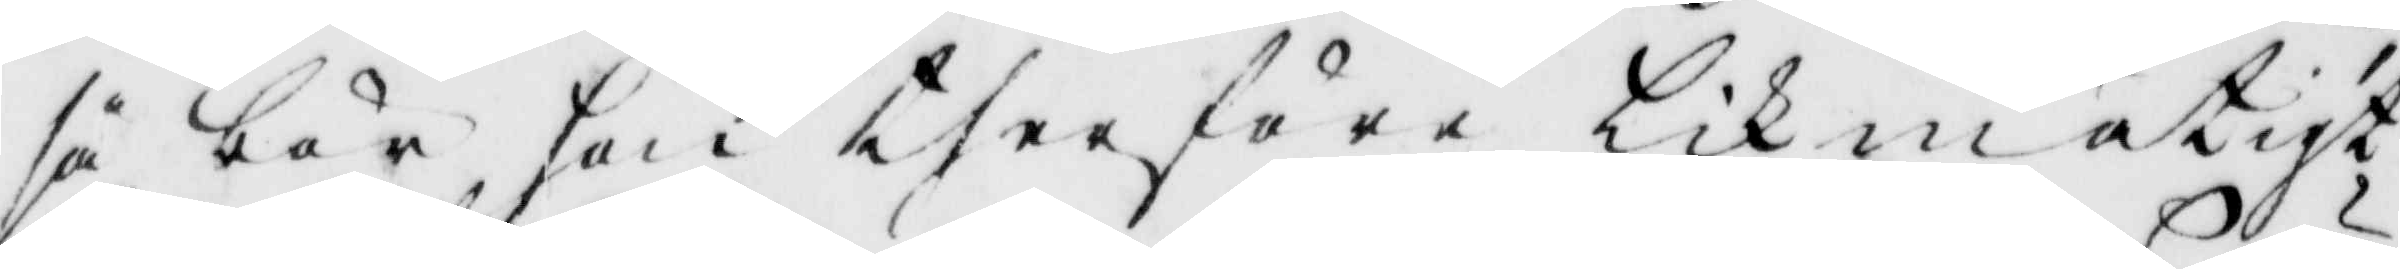så bör hon therföre likmätigt
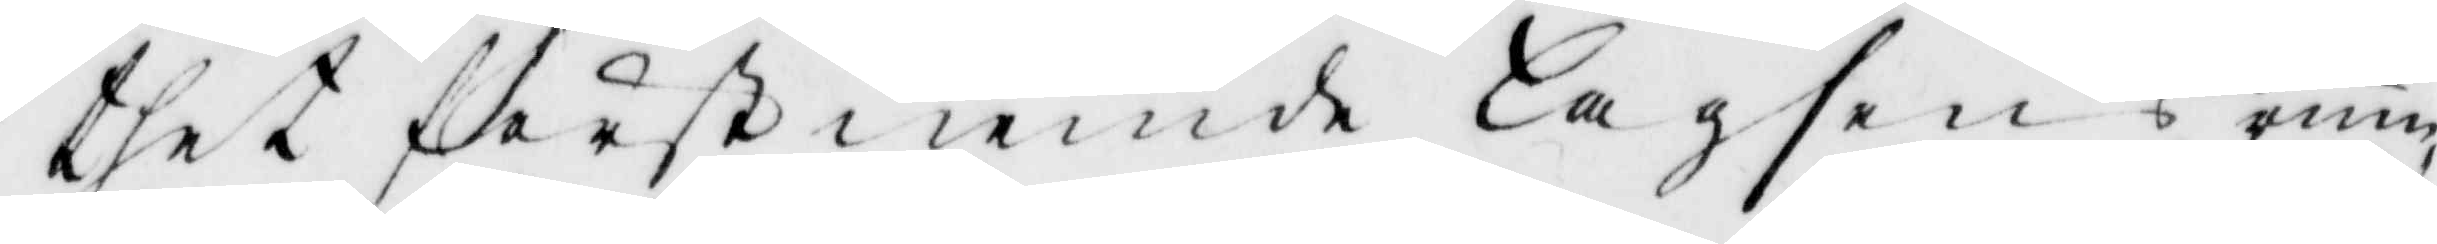thet förstnemde lagsens rum
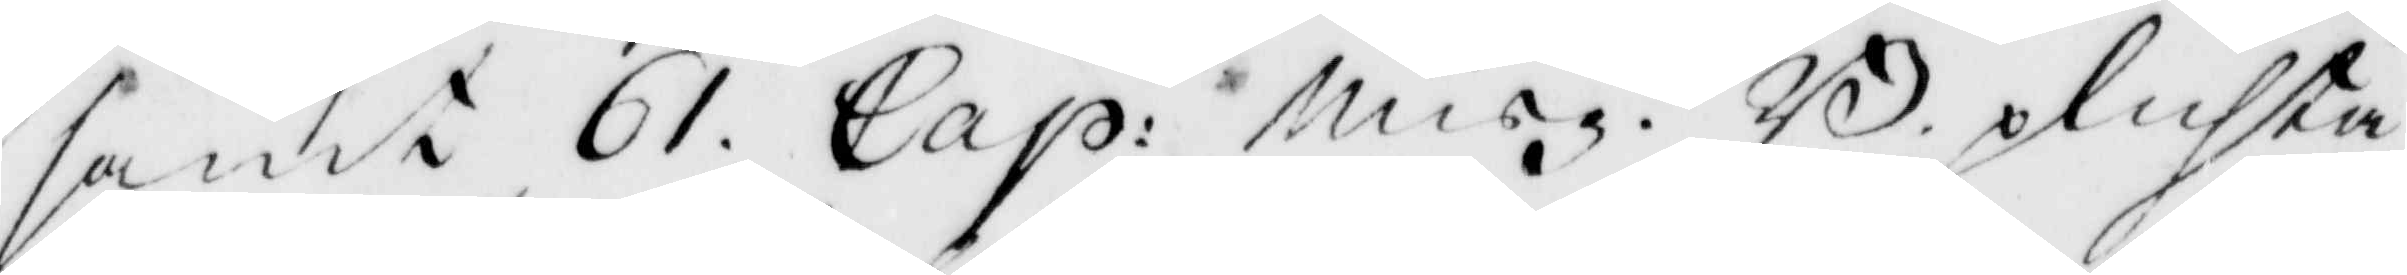samt 61. Cap: Misg. B. plichta
